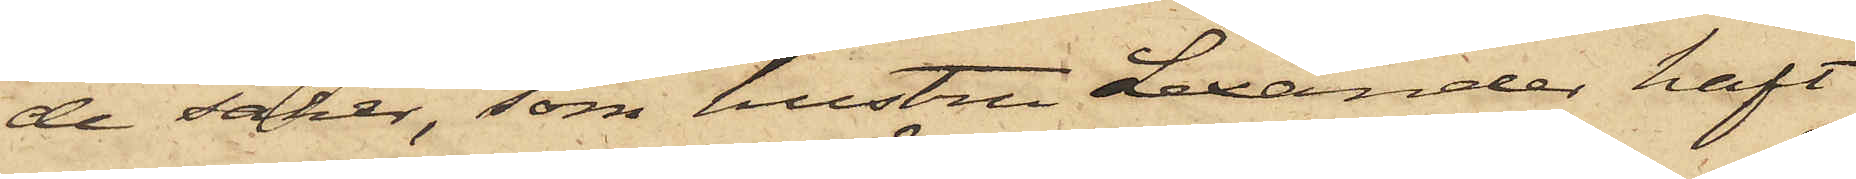de saker, som hustru Lexander haft
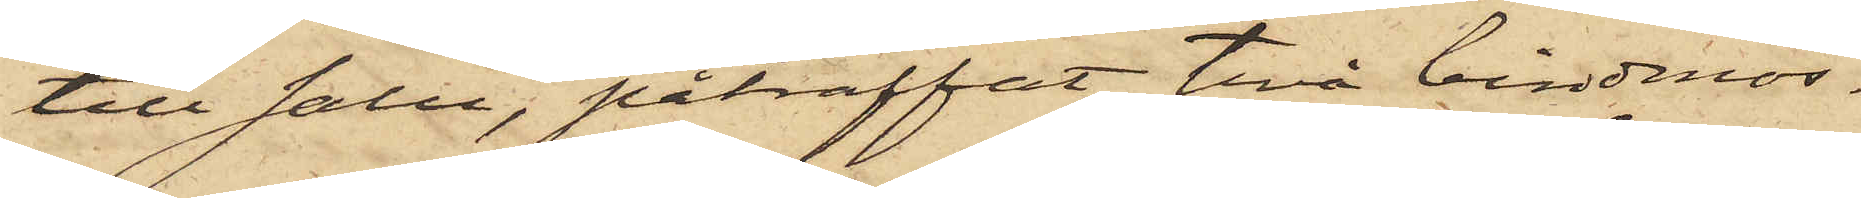till salu, påträffat två bindmös¬
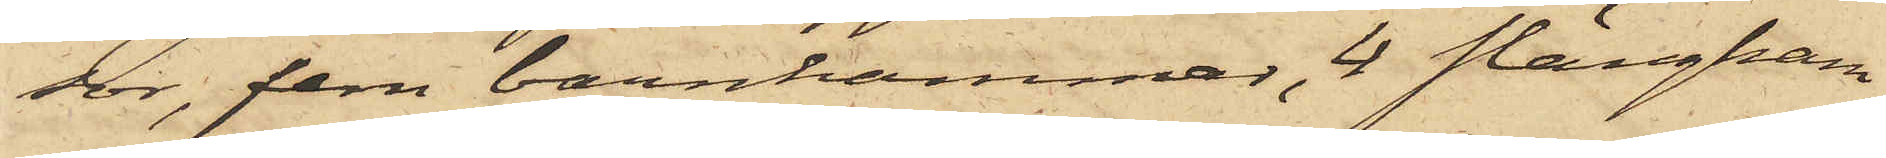sor, fem barnkammar, 4 slängkam¬
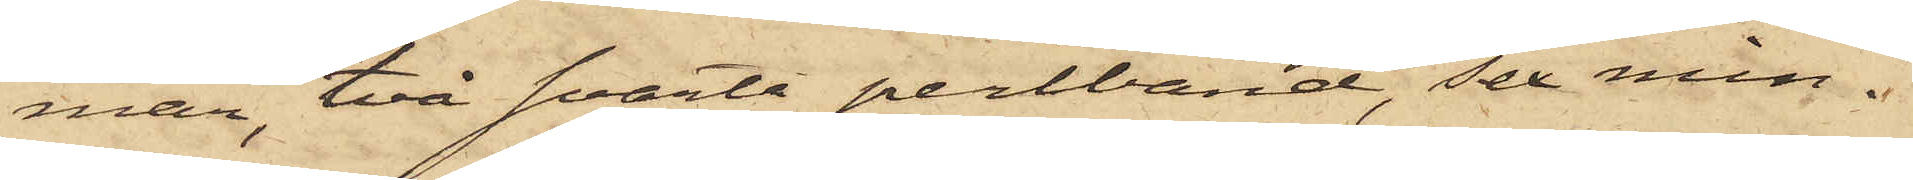mar, två svarta perlband, sex min¬
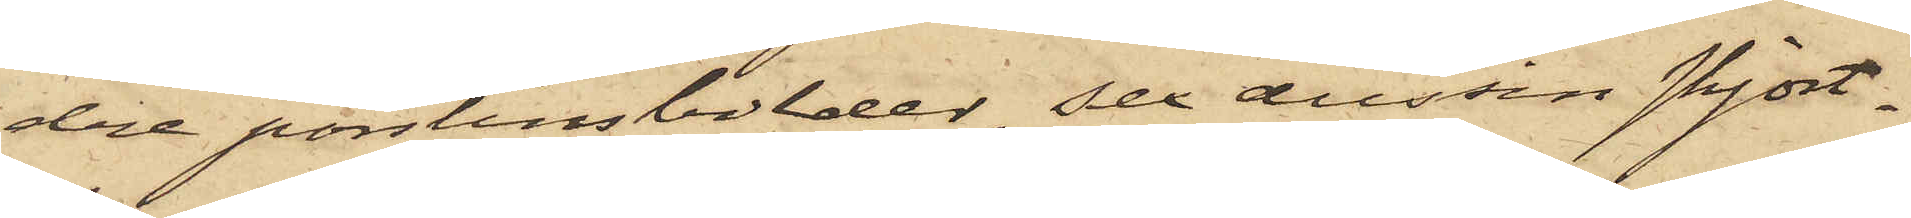dre porslinsbilder, sex dussin skjort¬
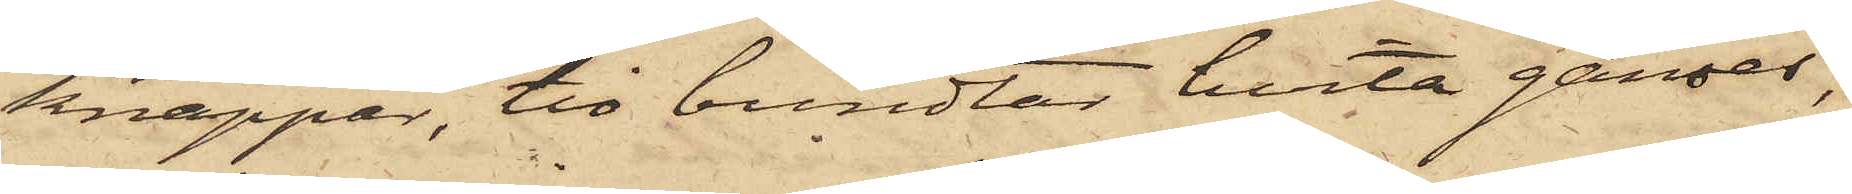knappar, tio bundtar hvita ganser,
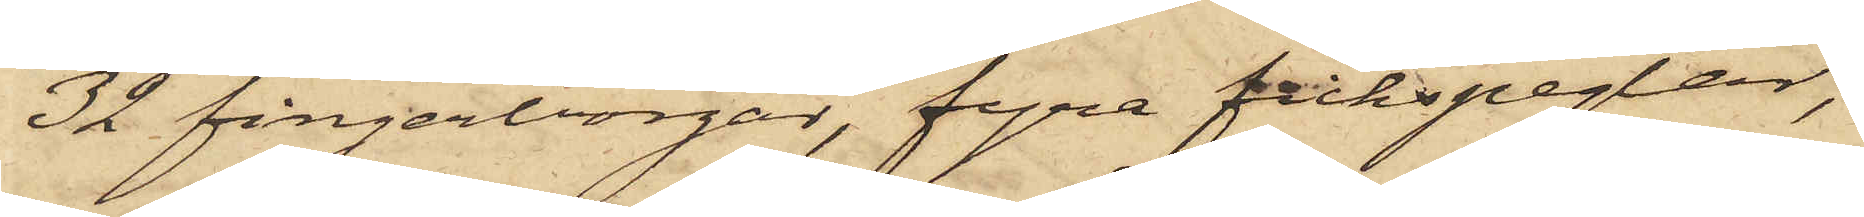32 fingerborgar, fyra fickspeglar,
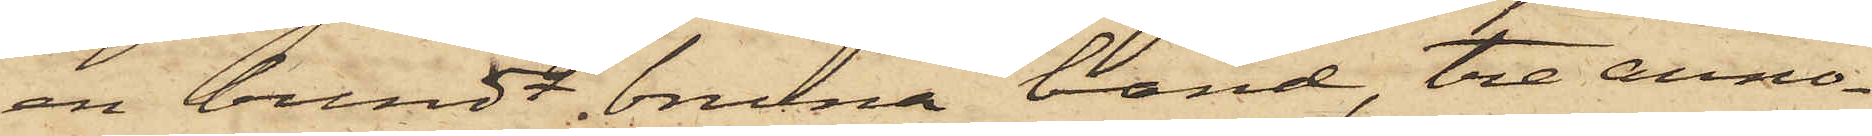en bundt bruna band, tre anno¬
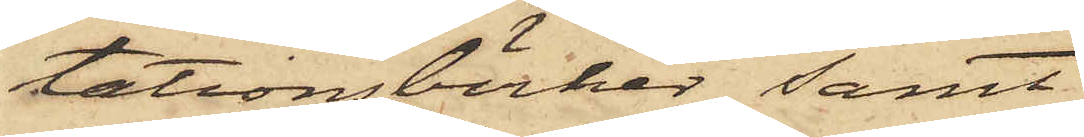tationsböcker samt
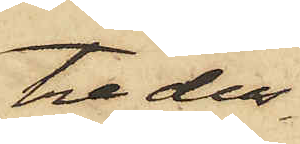tre dus¬
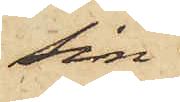sin
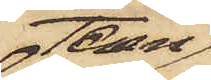tenn
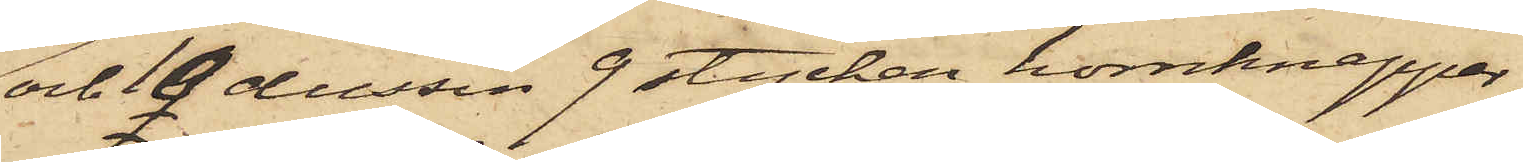och 10 dussin 9 stycken hornknappar,
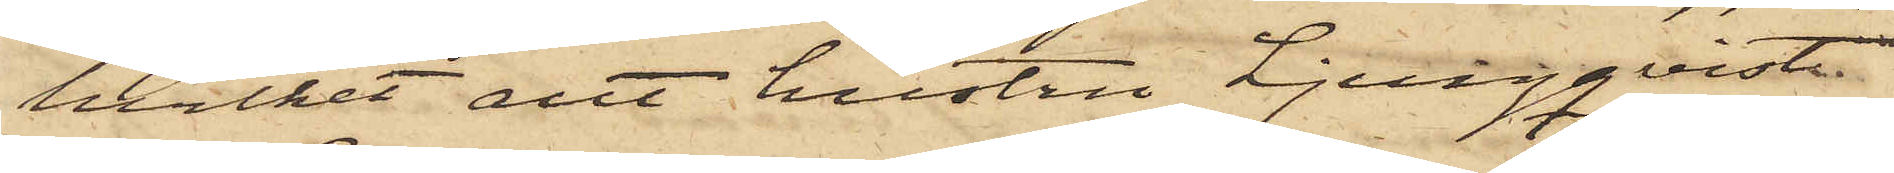hvilket allt hustru Ljungqvist
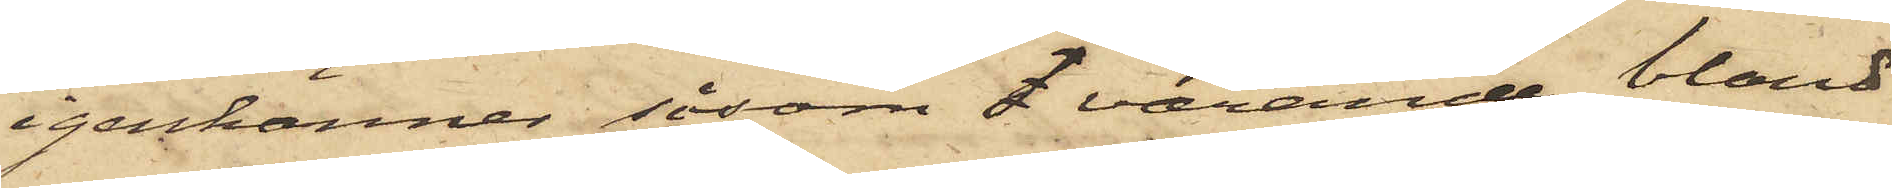igenkänner såsom f varande bland
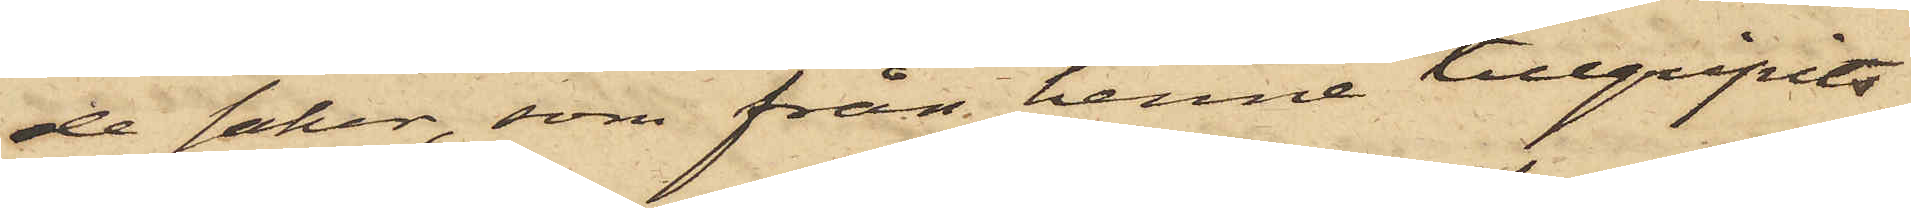de saker, som från henne tillgripits.
